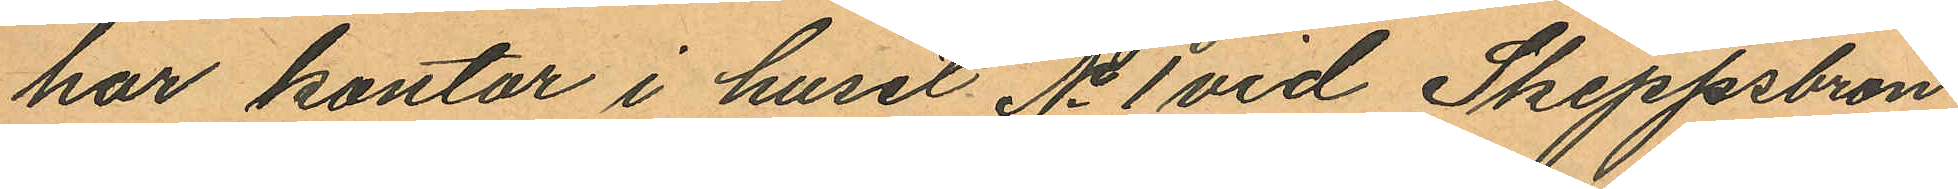har kontor i huset No 1 vid Skeppsbron,
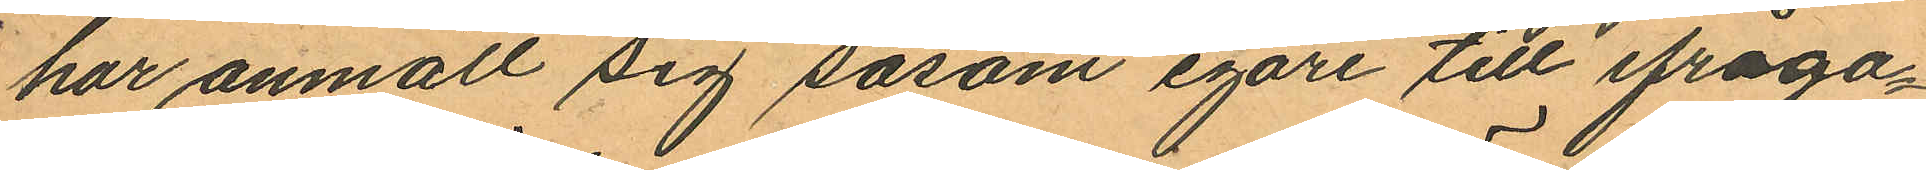har anmält sig såsom egare till ifråga¬
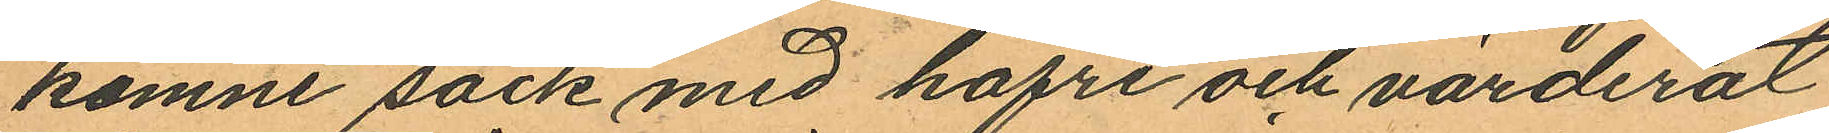komne säck med hafre och värderat
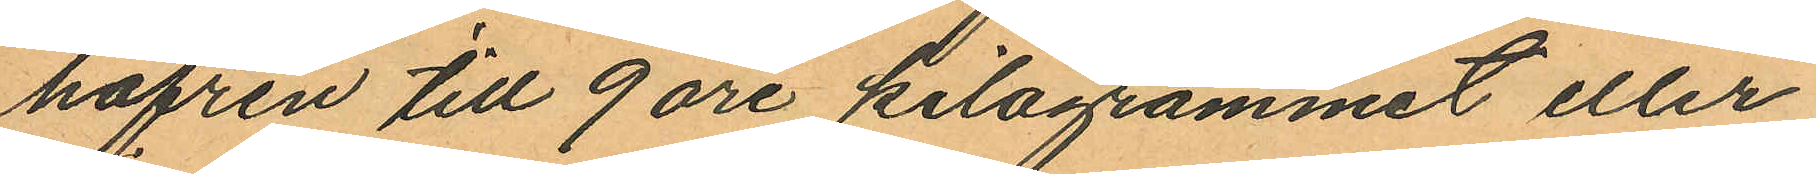hafren till 9 öre kilogrammet eller
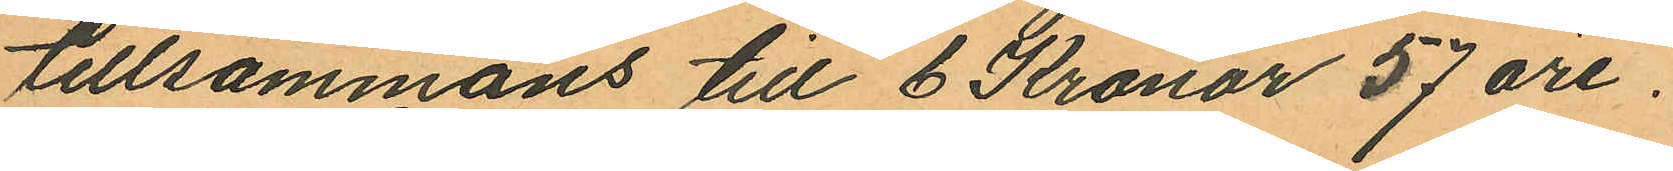tillsammans till 6 Kronor 57 öre.
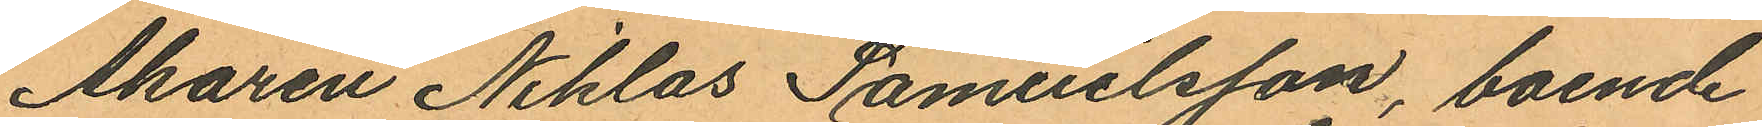Åkaren Niklas Samuelsson, boende
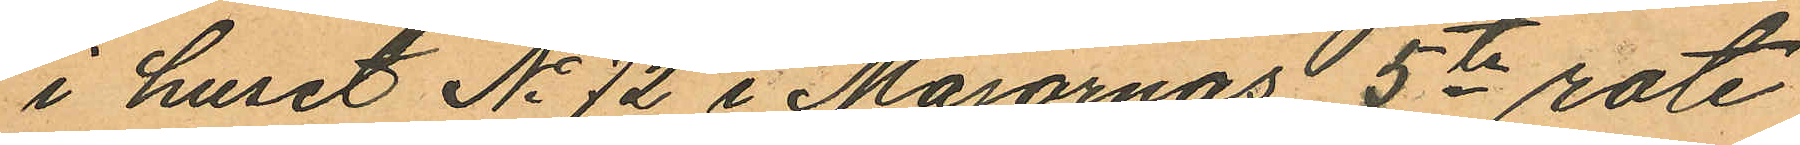i huset No 72 i Majornas 5te rote
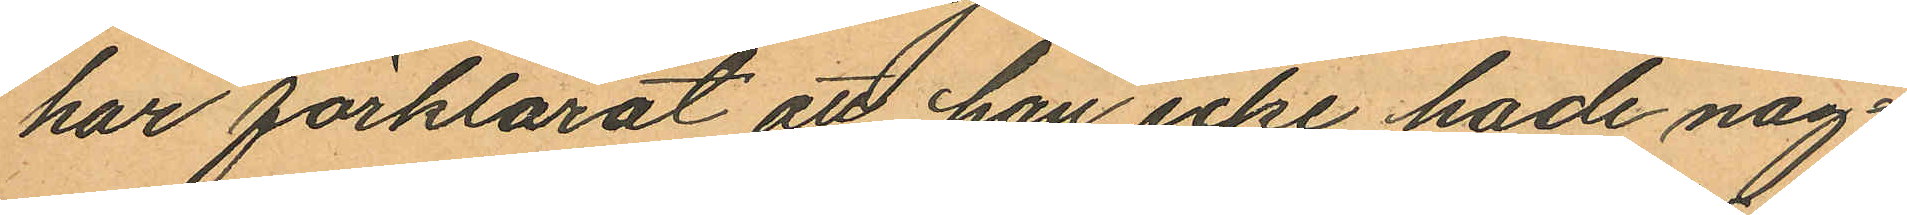har förklarat att han icke hade någ¬
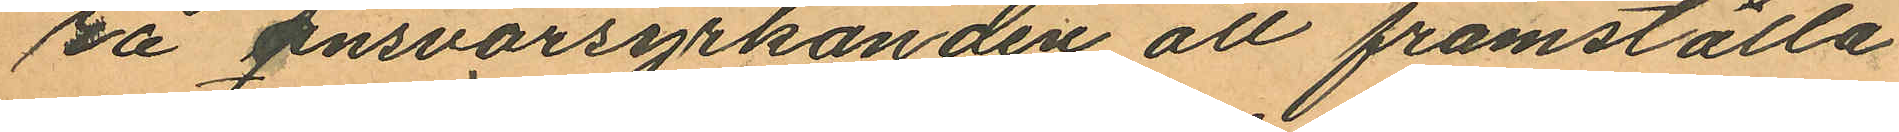ra ansvarsyrkanden att framställa
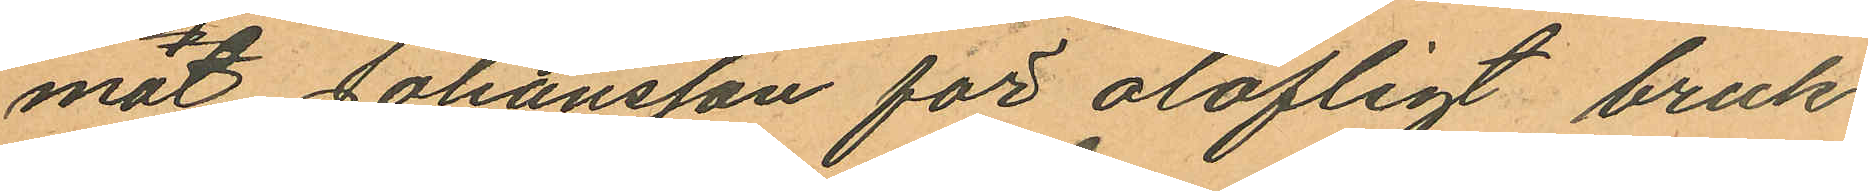mot Johansson för olofligt bruk
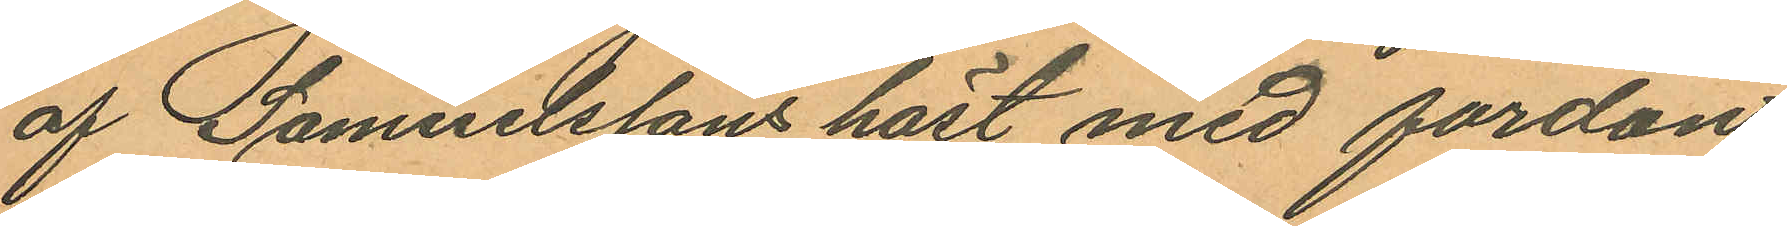af Samuelssons häst med fordon.
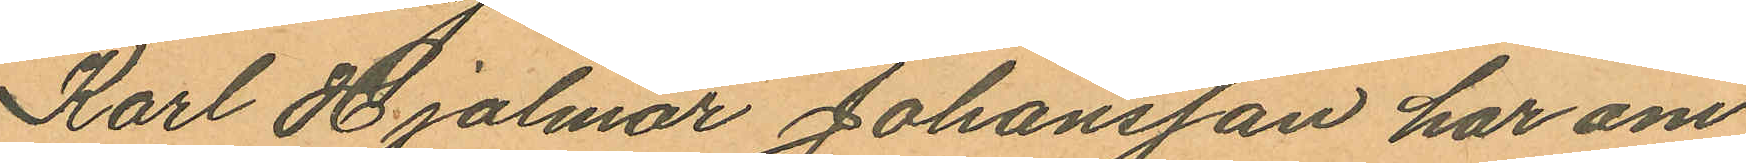Karl Hjalmar Johansson har om
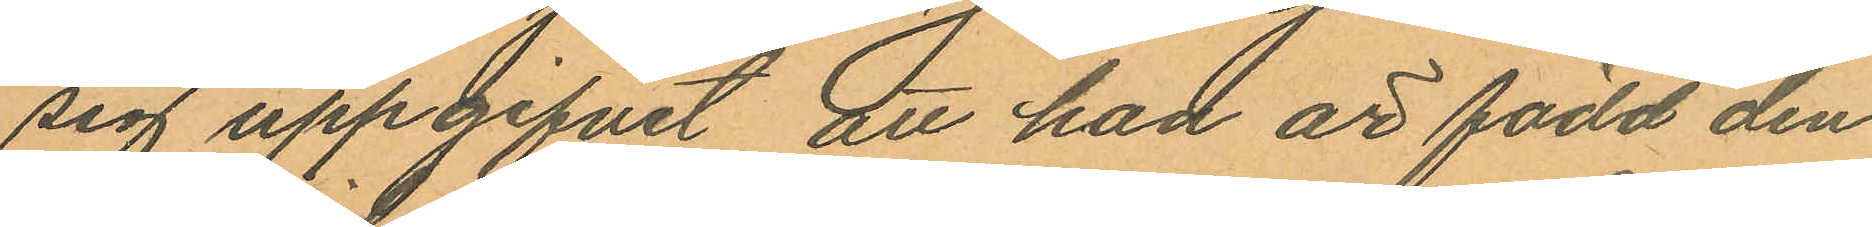sig uppgifvit, att han är född den
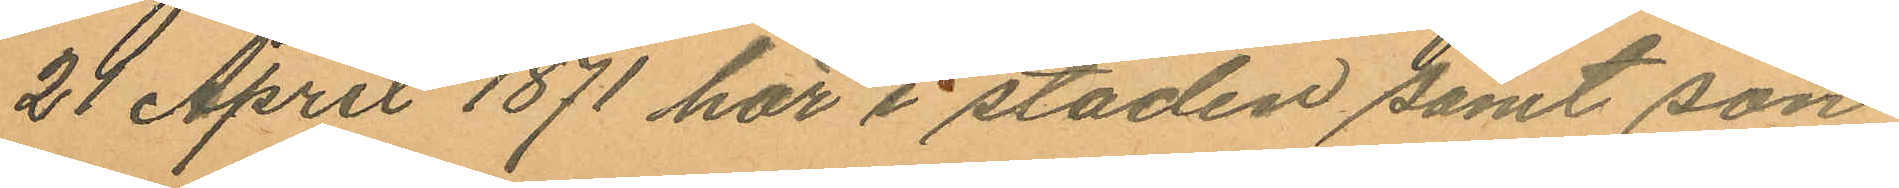24 April 1871 här i staden samt son
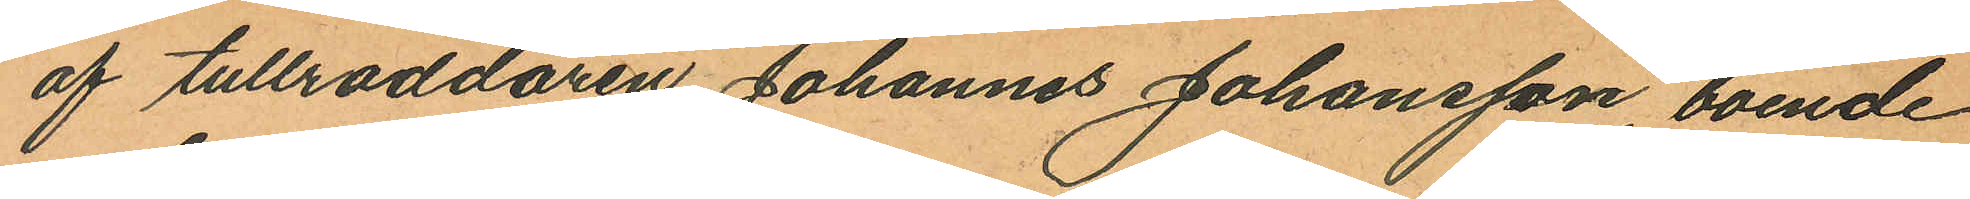af tullroddaren Johannes Johansson, boende
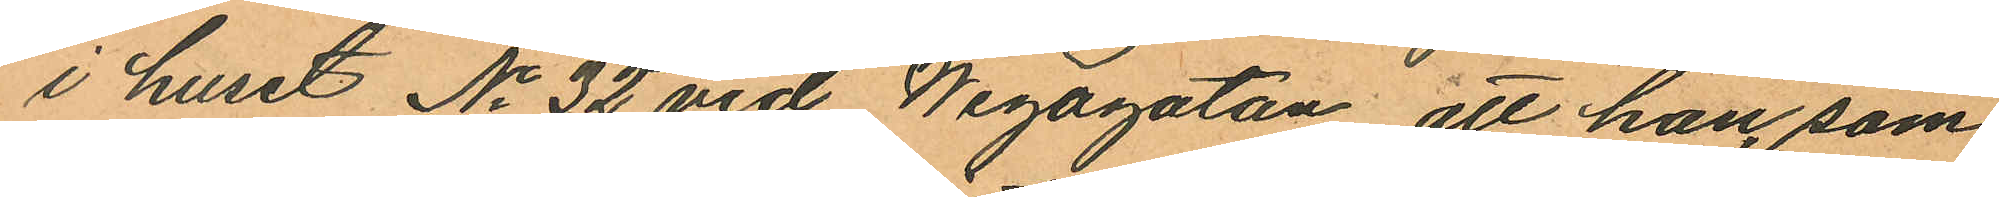i huset No 32 vid Wegagatan, att han, som
